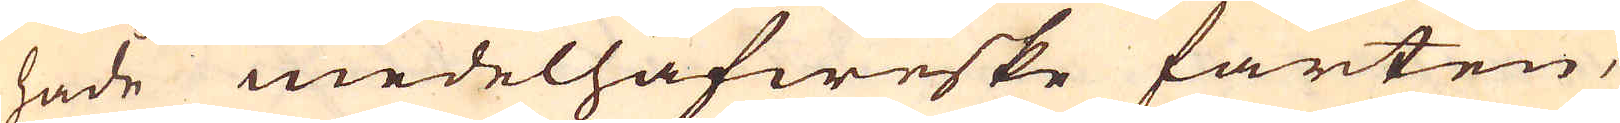hade medelhafweske farten,
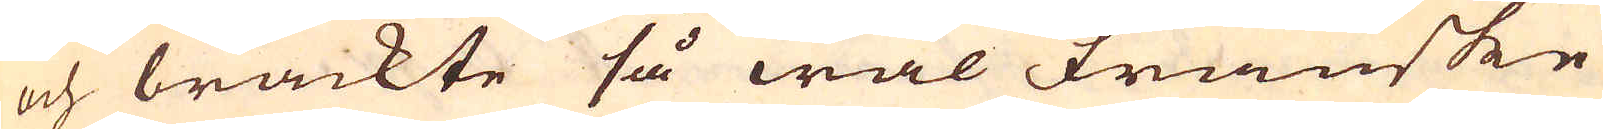och brackte så wäl Franske
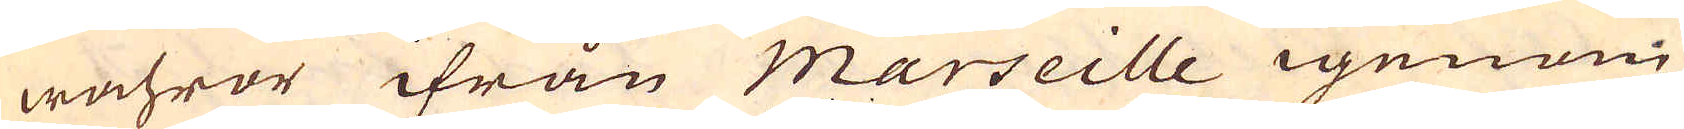wahror ifrån Marseille igenom
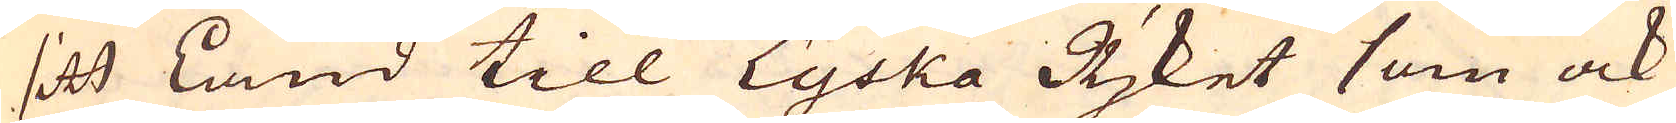sitt Land till Tyska Rjket som ock
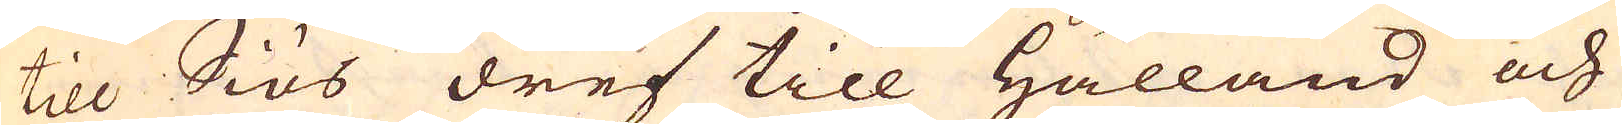till Siös dref till Hålland och
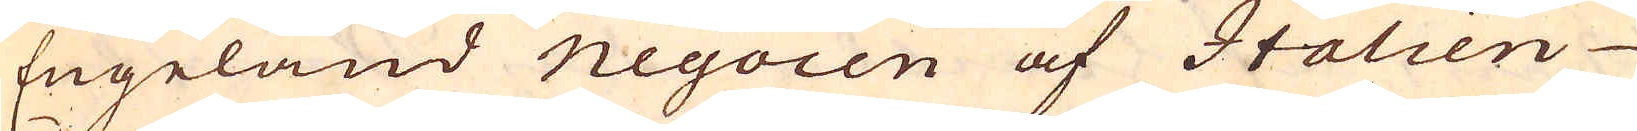Engeland negocen af Italien
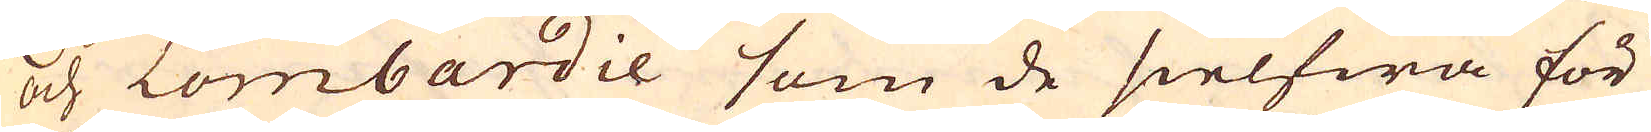och Lombardie som de sielfwa för
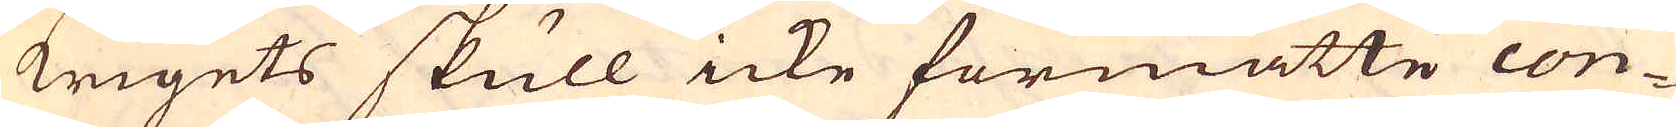krigets skull icke förmåtte con-
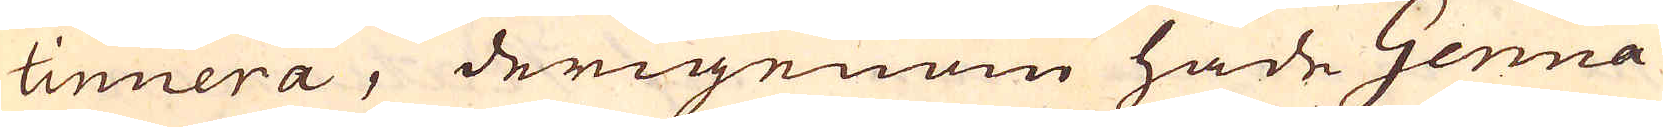tinuera, derigenom hade Genua
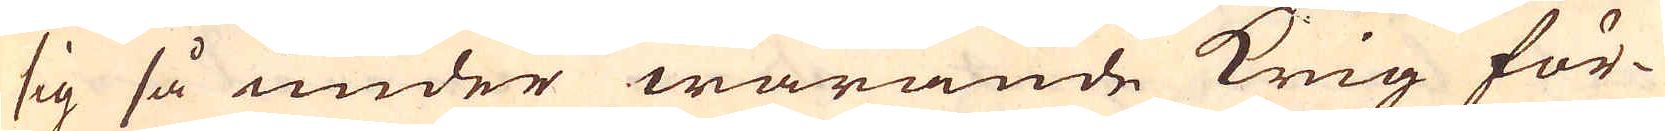sig så under warande krig för-
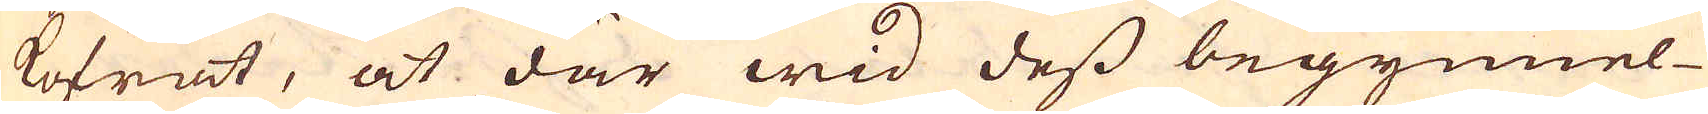kofrat, at där wid dess begynnel-
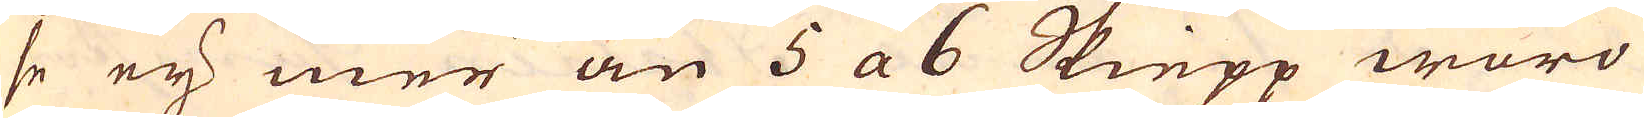se eij mer än 5 a 6 Skiepp woro
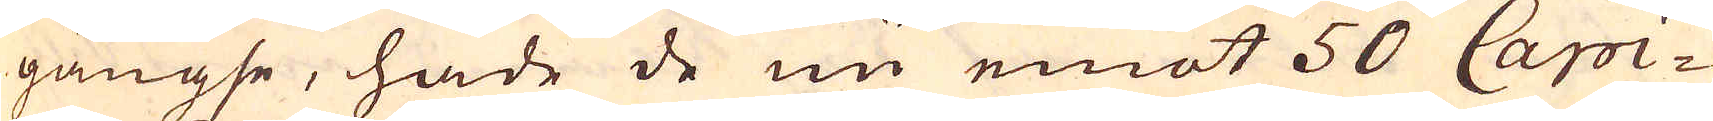gängse, hade de nu emot 50 Capi-
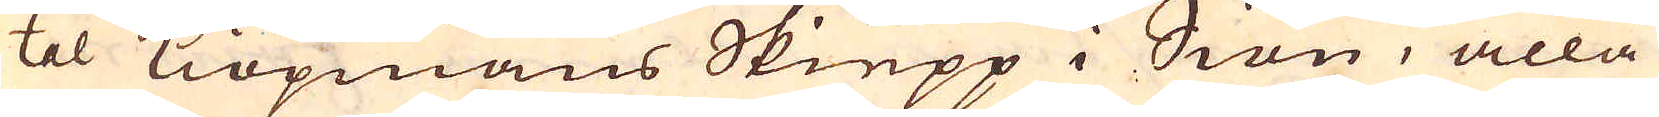tal Kiöpmans Skiepp i Siön, alla
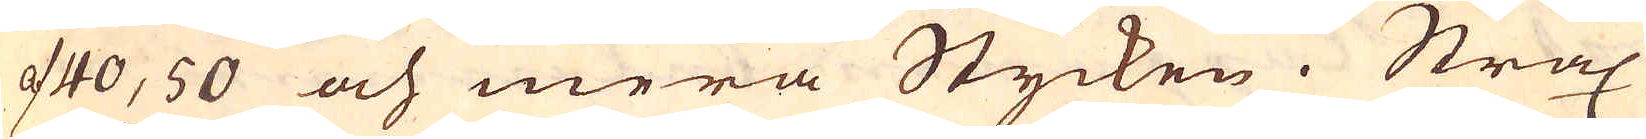af 40, 50 och mera Stycken. Strax
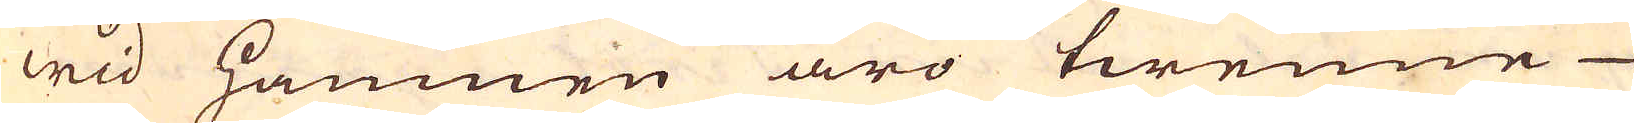wid hamnen äro twenne
